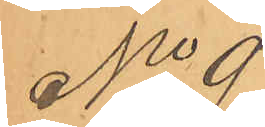No 9
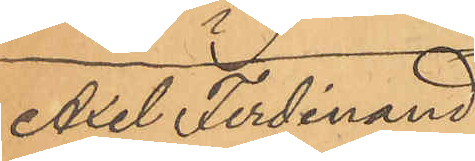Axel Ferdinand
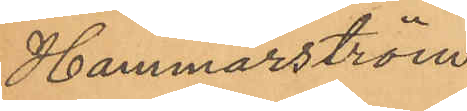Hammarström
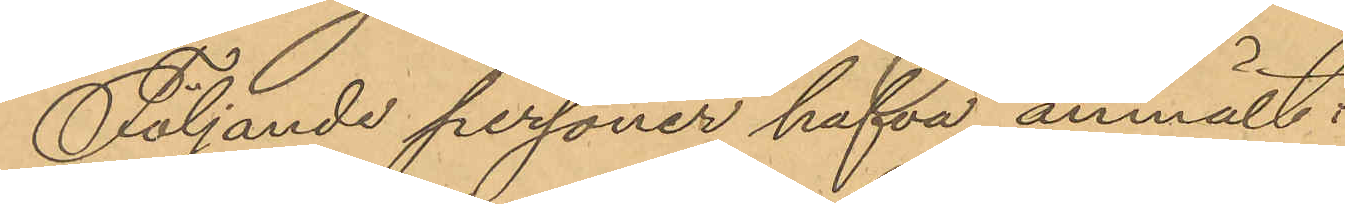Följande personer hafva anmält:
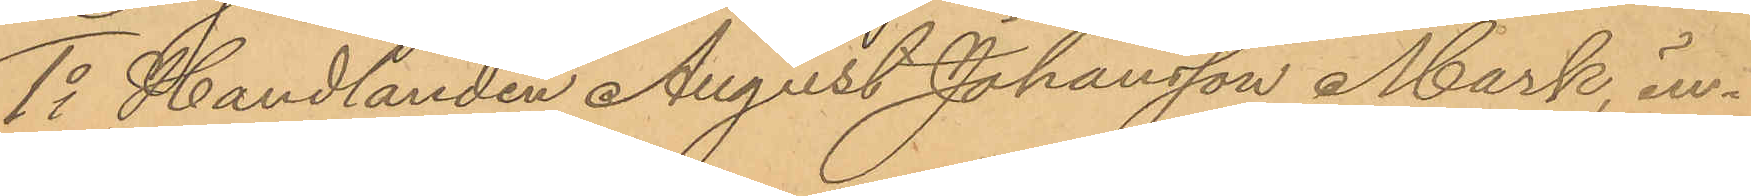1o Handlanden August Johansson Mark, in¬
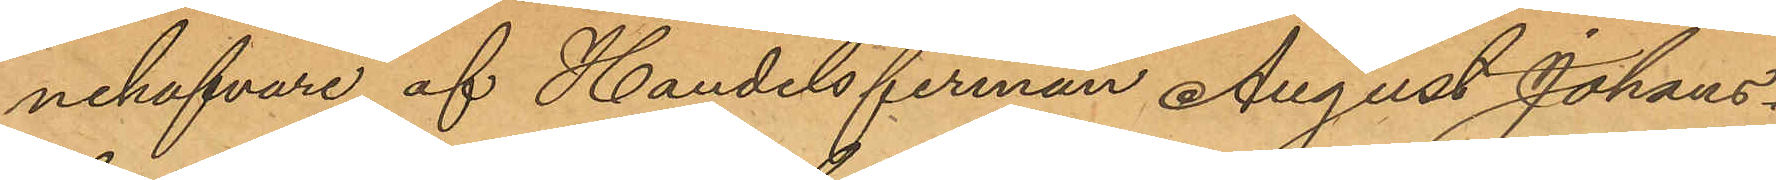nehafvare af Handelsfirman August Johans¬
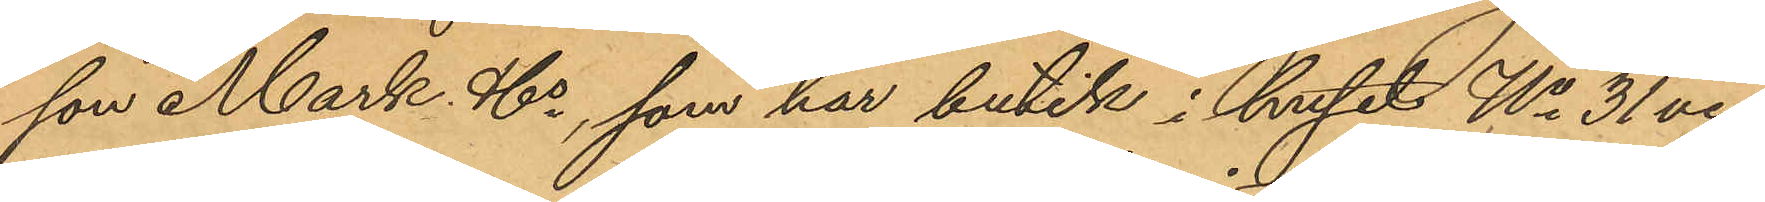son Mark & Co, som har butik i huset No 31 vid
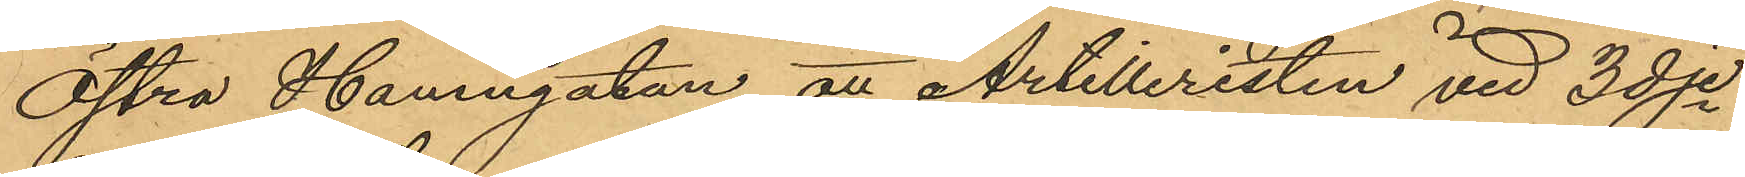Östra Hamngatan, att Artilleristen vid 3dje
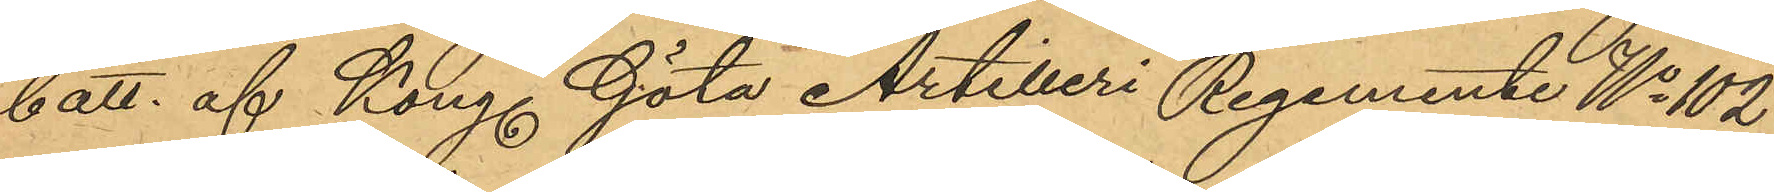batt. af Kong. Göta Artilleri Regemente No 102
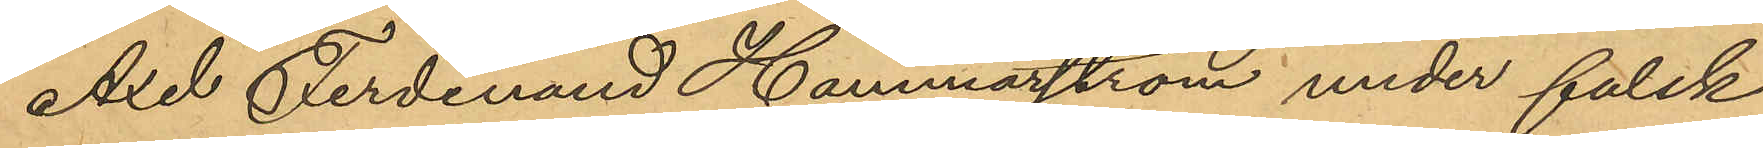Axel Ferdinand Hammarström under falsk
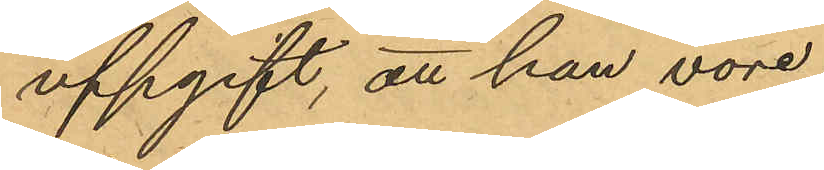uppgift, att han vore
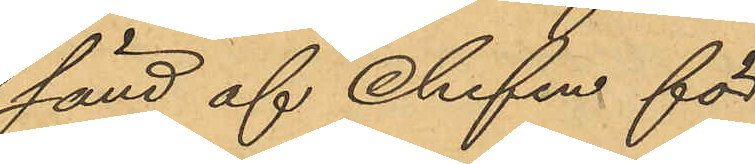sänd af Chefen för
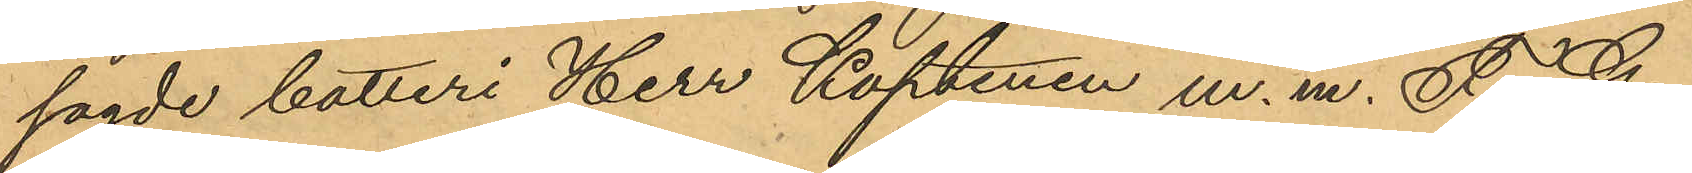sagde batteri Herr Kaptenen m. m. F. G
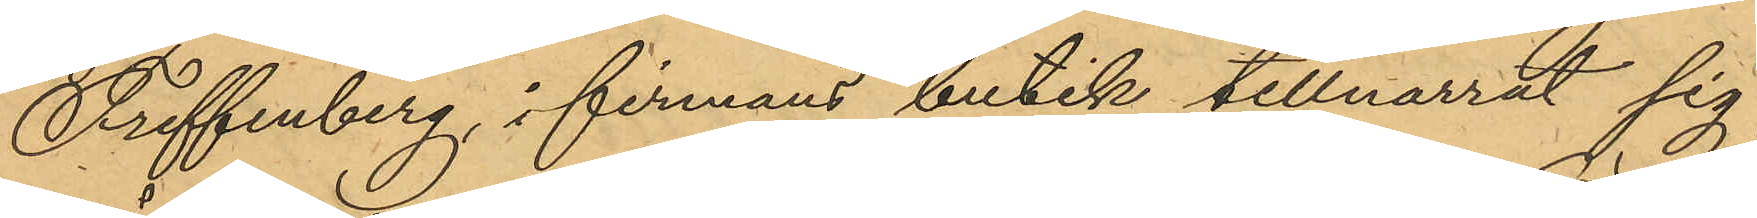Treffenberg, i firmans butik tillnarrat sig
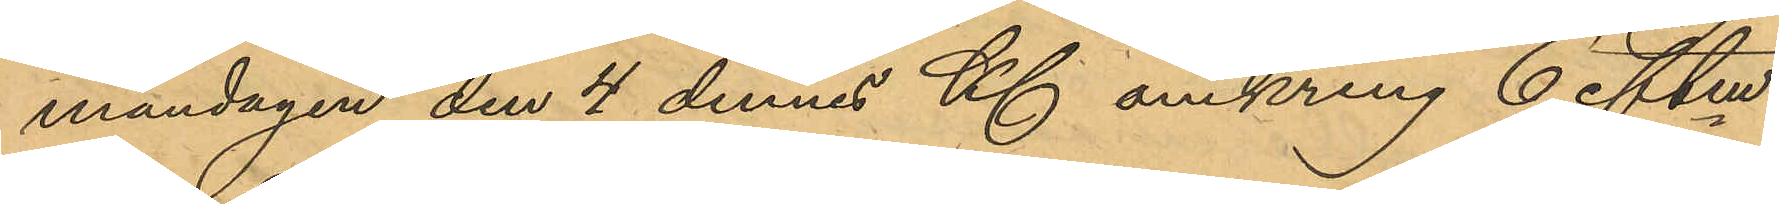måndagen den 4 dennes Kl omkring 6 eftm
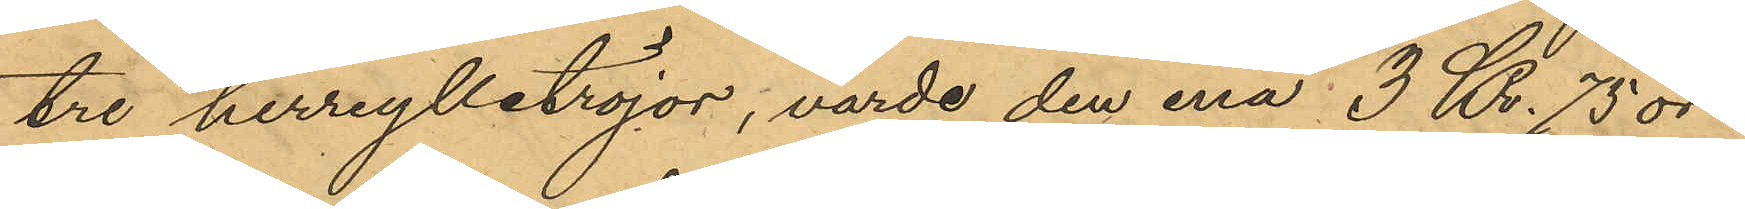tre herrylletröjor, värde den ena 3 Kr. 75 öre
